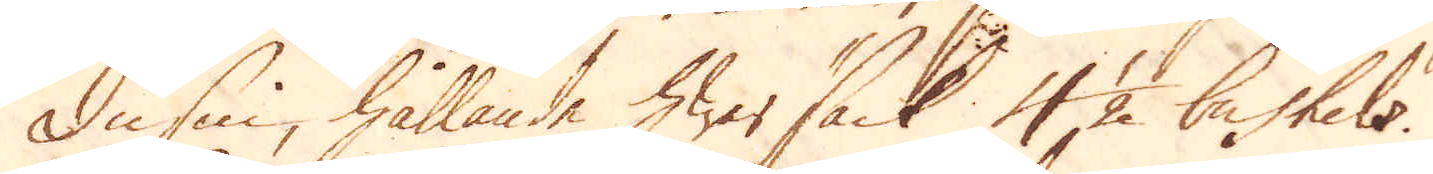dussin, hållande hwar säck 4 1/2 bushels.
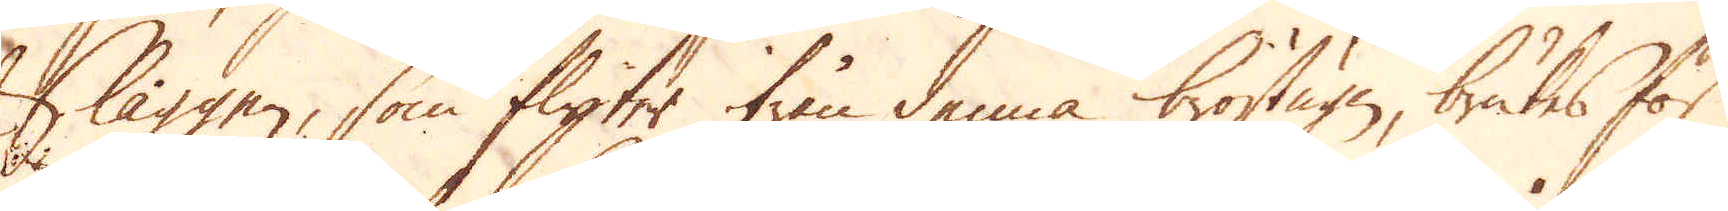Slaggen, som flyter ifrån denna bröstugn, brukes för
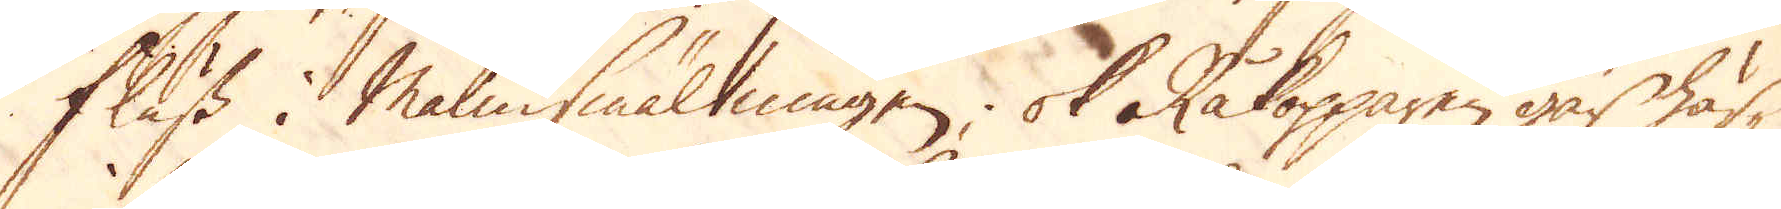fluss i Malmsmältningen, ok Råkopparen går här-
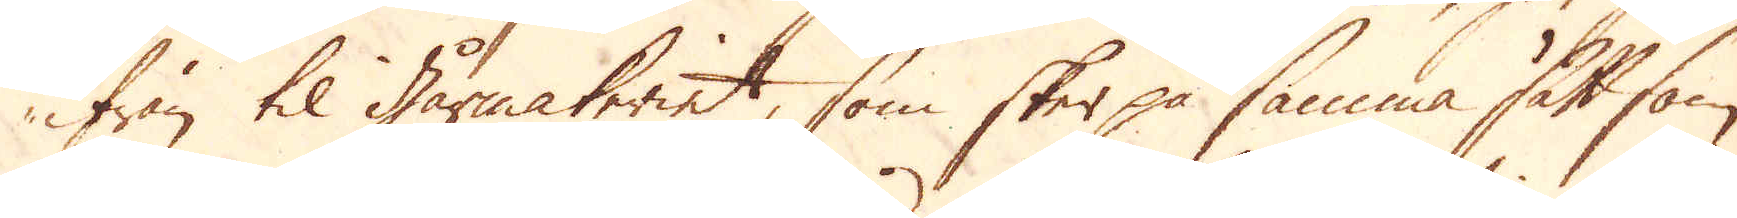ifrån til gårmakeriet, som sker på samma sätt som
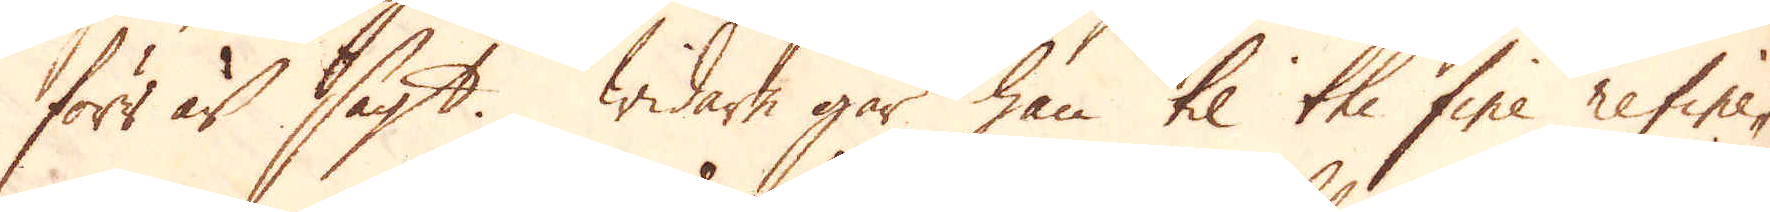förr är sagt. Widare går han til the fine refine-
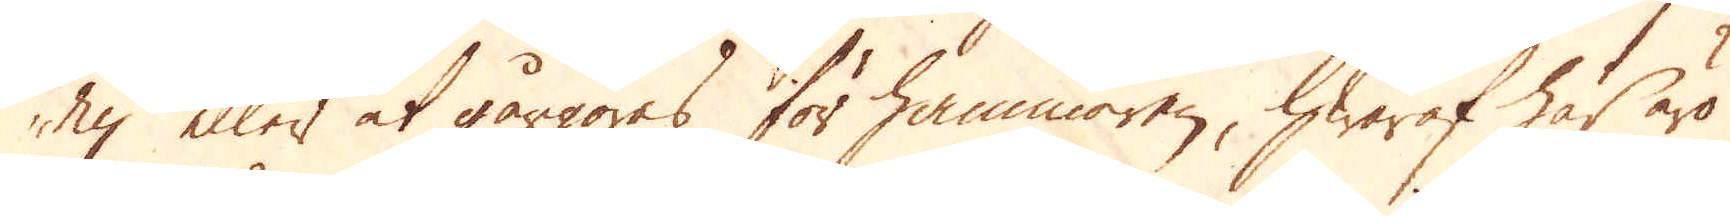ry eller at gårgöres för hammaren, hwaraf här äro
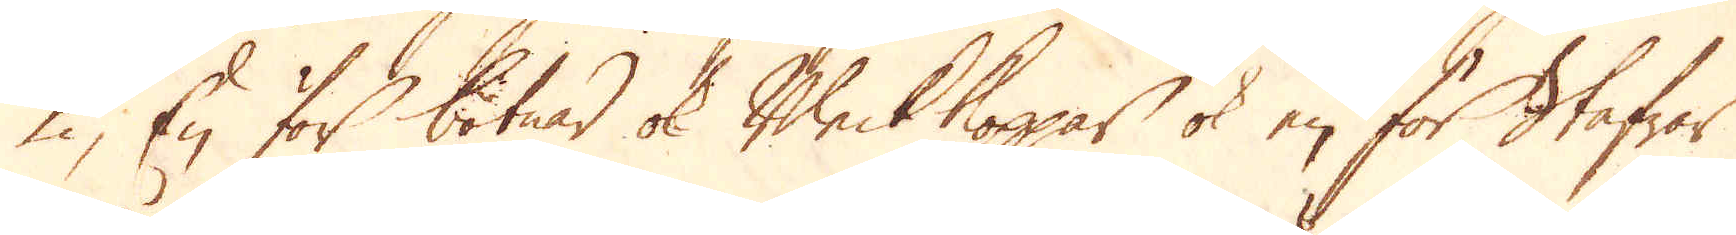2, En för botnar ok Bleck koppar ok en för Stafwar
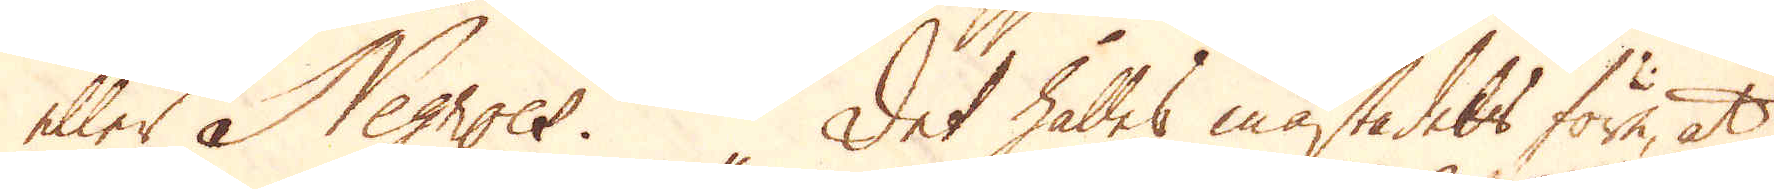eller Negroes. Det hålles mästadels före, at
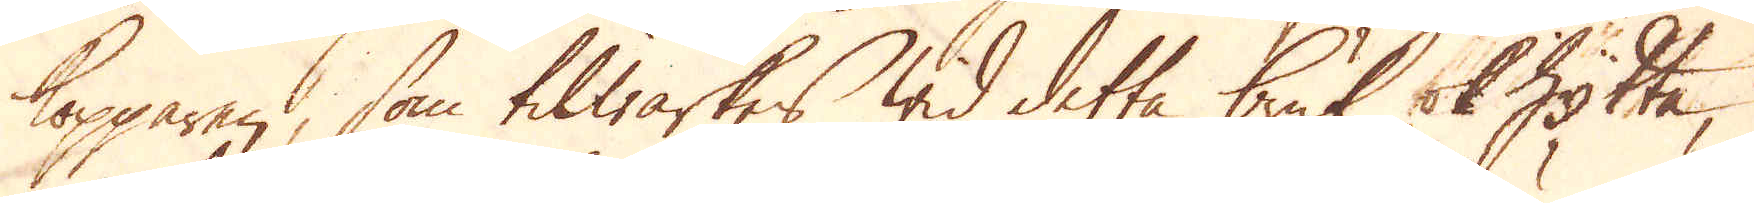kopparen, som tilwärkes wid detta bruk ok Hytta,
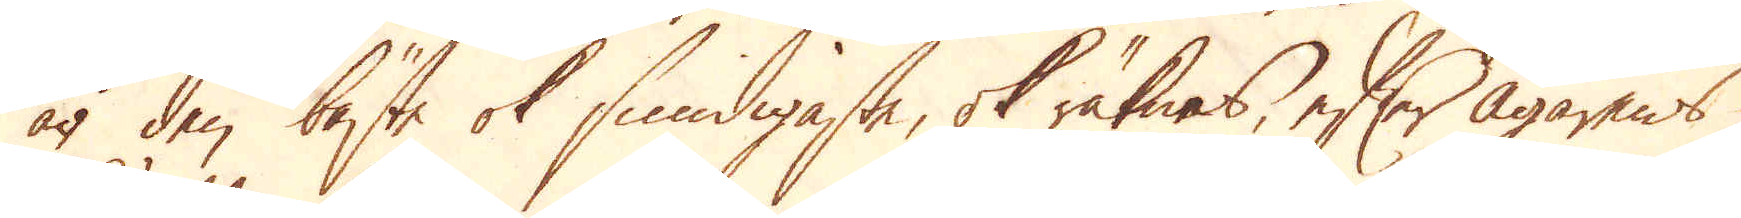är den bäste ok smidigaste, ok räknas, efter ägarens
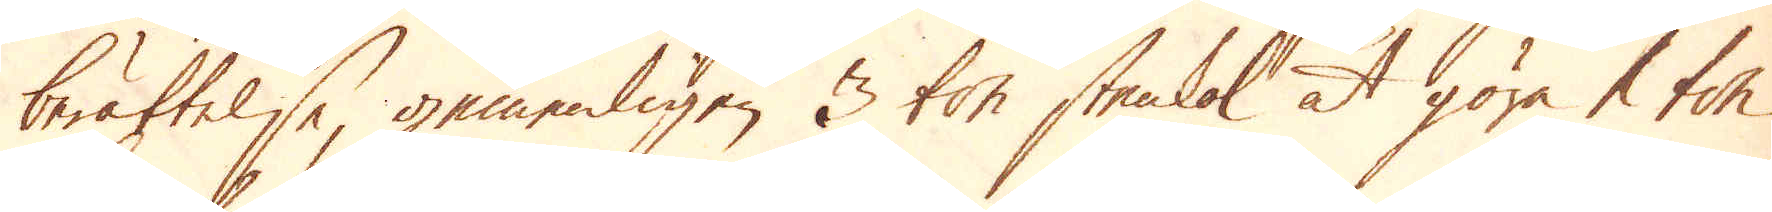berättelse, gemenligen 3 ton stenkol at göra 1 ton
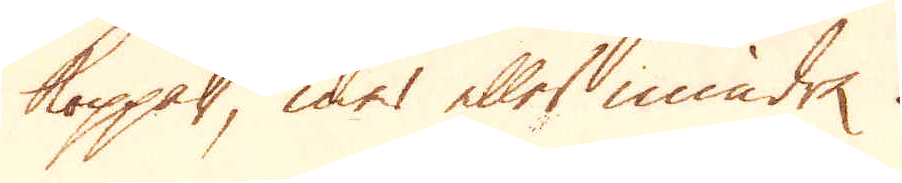koppar, mer eller mindre.
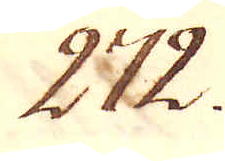272.
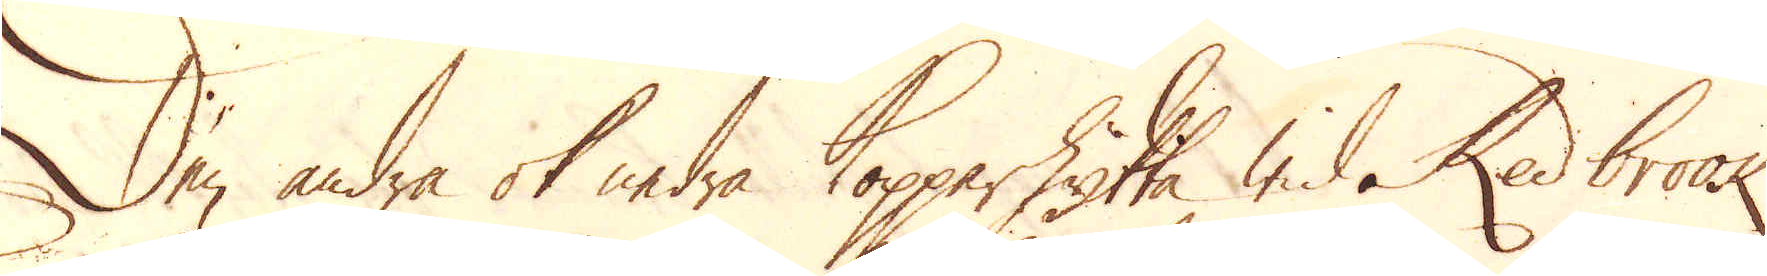Den andra ok nedra Kopparhytta wid Red brook
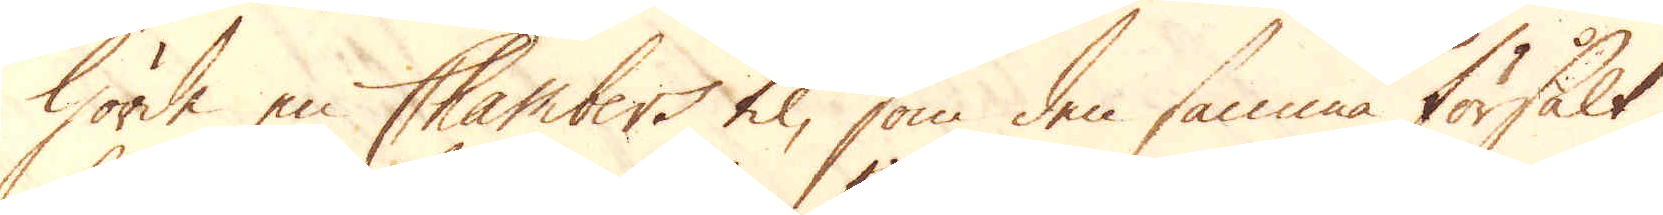hörde en Chambers til, som den samma försålt
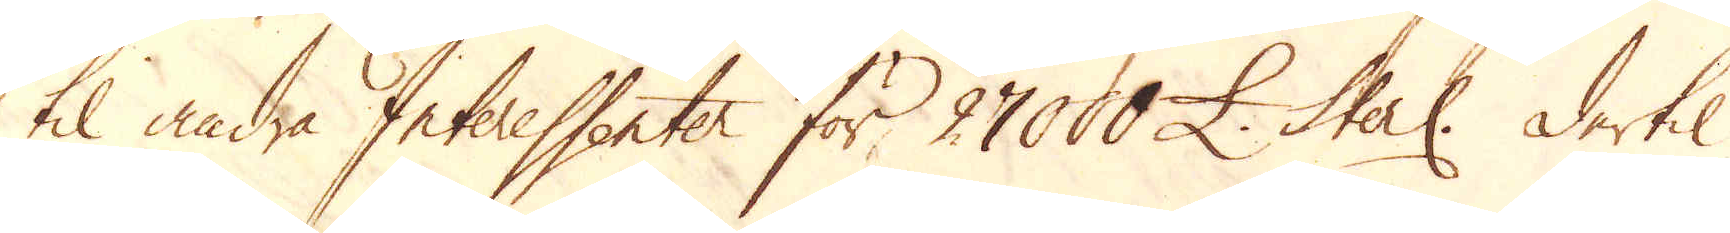til andra Interessenter för 27000 £. Sterl: dertil
